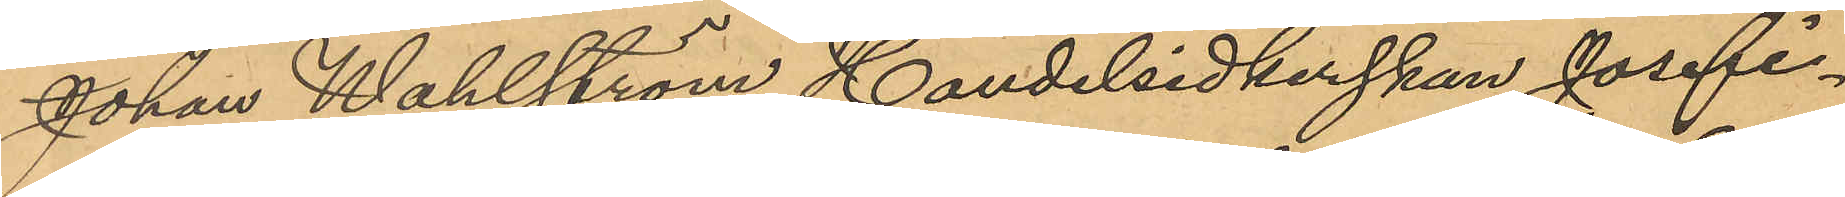Johan Wahlström, Handelsidkerskan Josefi¬
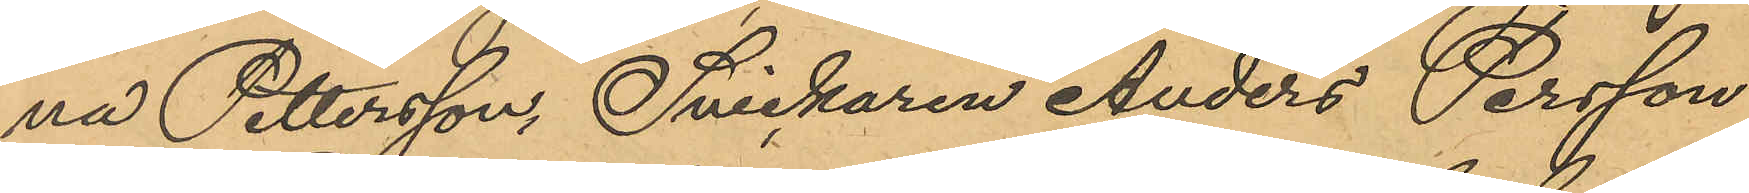na Pettersson, Snickaren Anders Persson
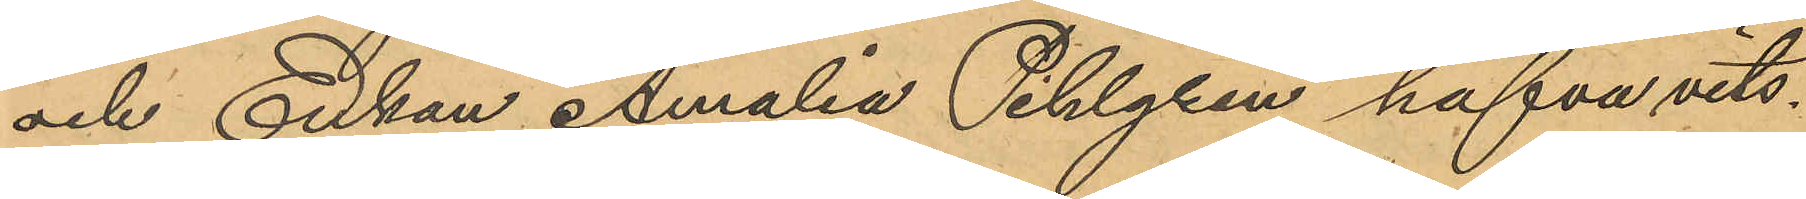och Enkan Amalia Pihlgren hafva vits¬
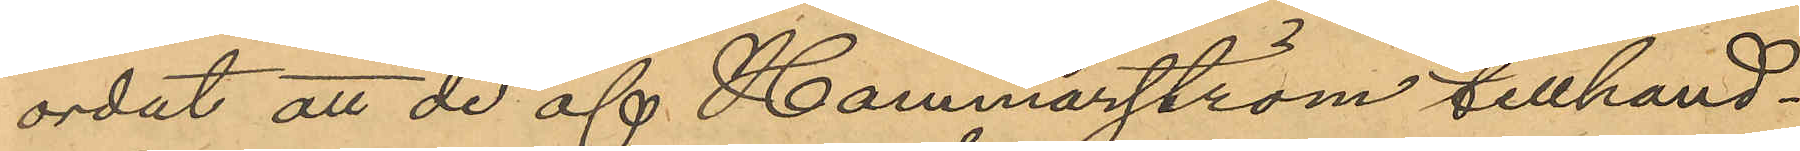ordat att de af Hammarström tillhand¬
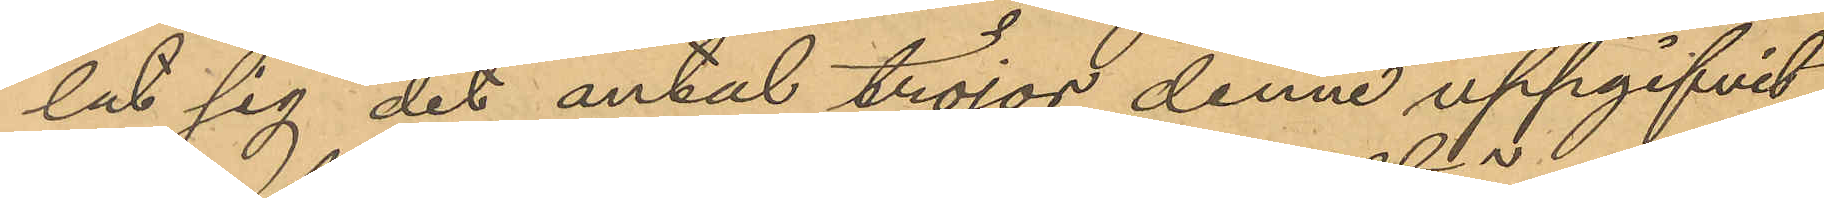lat sig det antal tröjor denne uppgifvit.
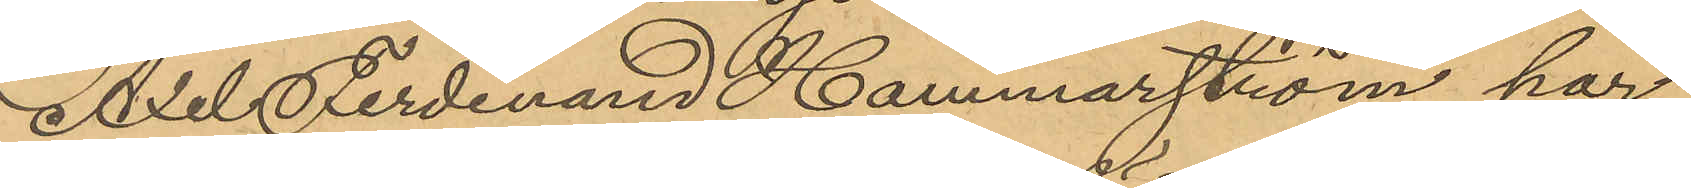Axel Ferdinand Hammarström har
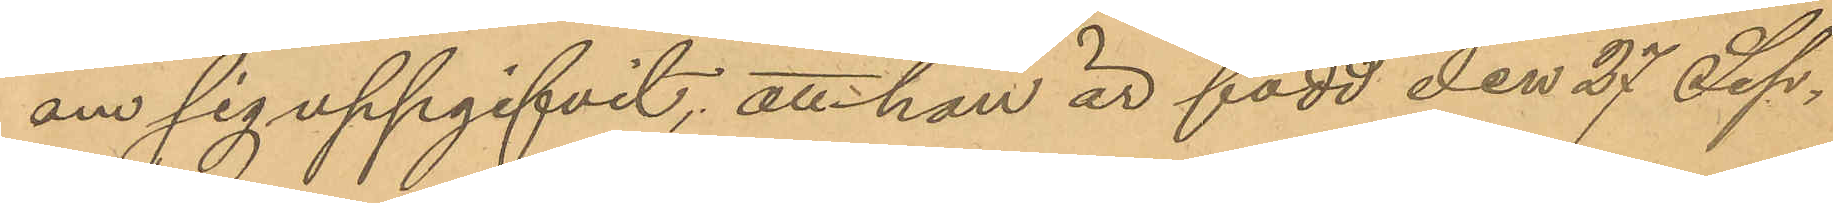om sig uppgifvit, att han är född den 27 Sep¬
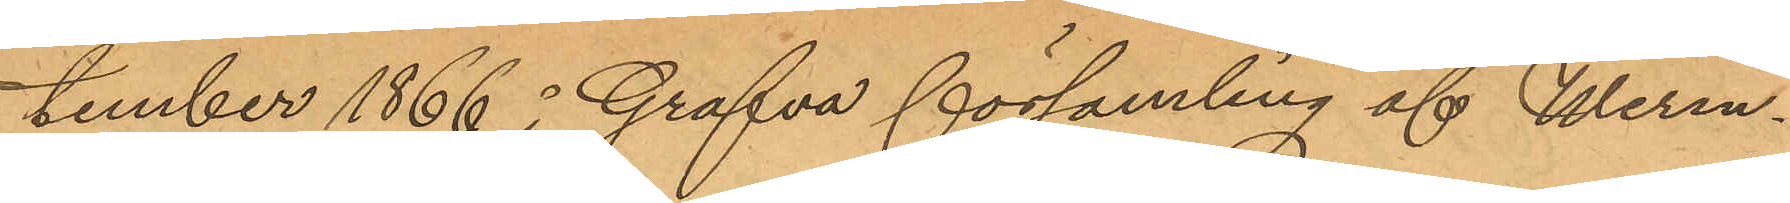tember 1866 å Grafva församling af Werm¬
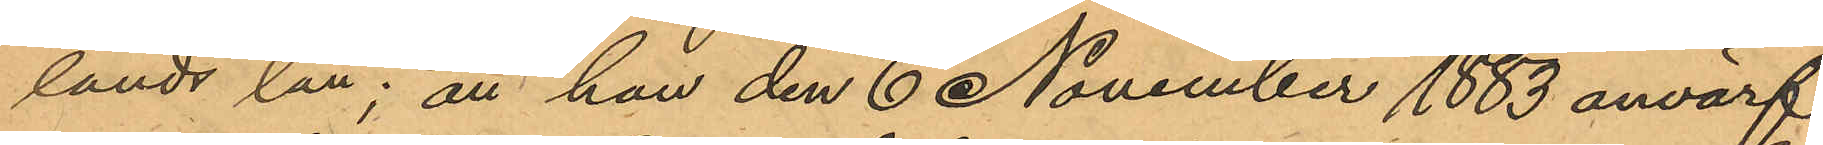lands län; att han den 6 November 1883 anvärf¬
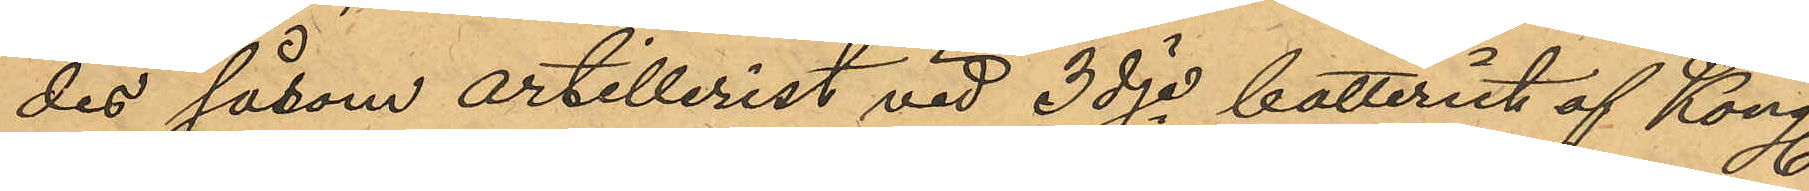des såsom artillerist vid 3dje batteriet af Kong.
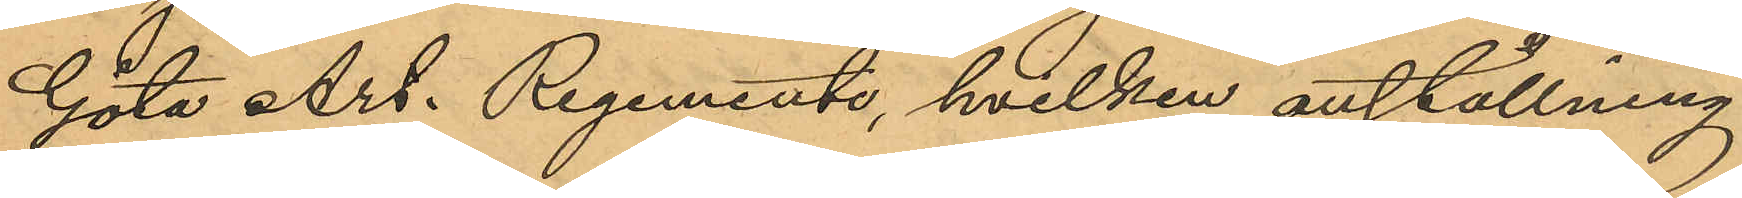Göta Art. Regemente, hvilken anställning
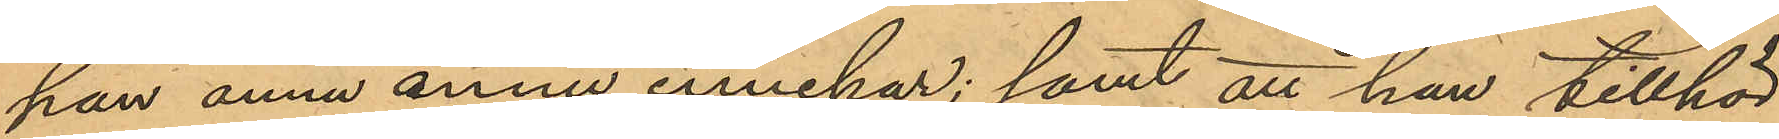han ännu ännu innehar; samt att han tillhör
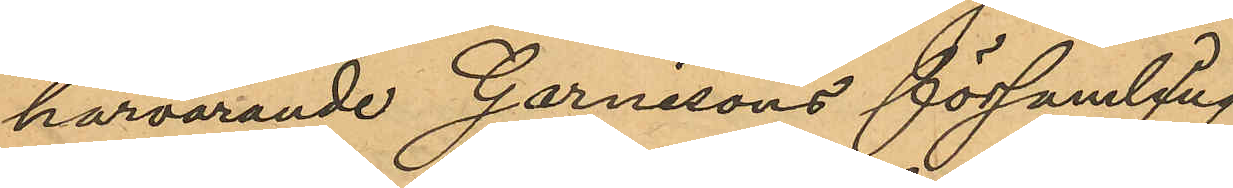härvarande Garnisons församling.
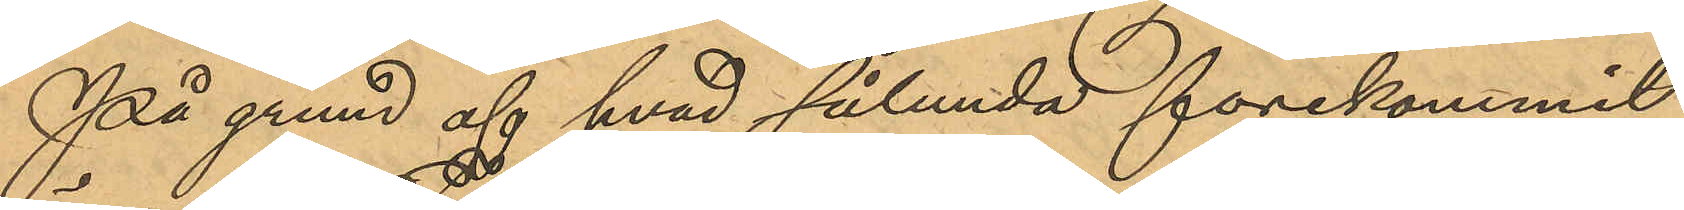På grund af hvad sålunda förekommit
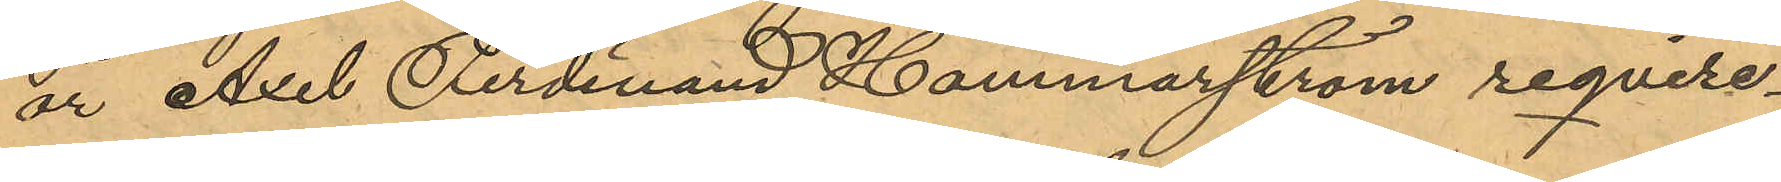är Axel Ferdinand Hammarström require¬
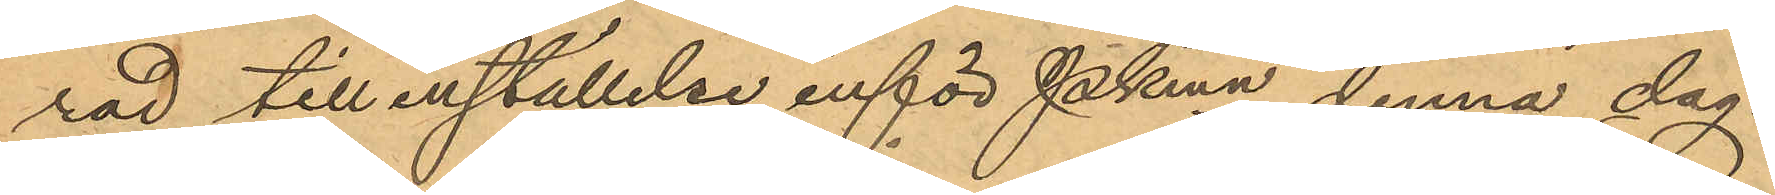rad till inställelse inför Pkmn denna dag.
